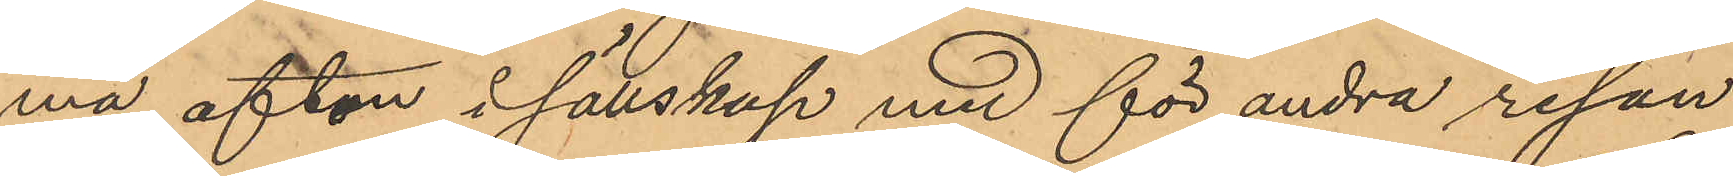ma afton i sällskap med för andra resan
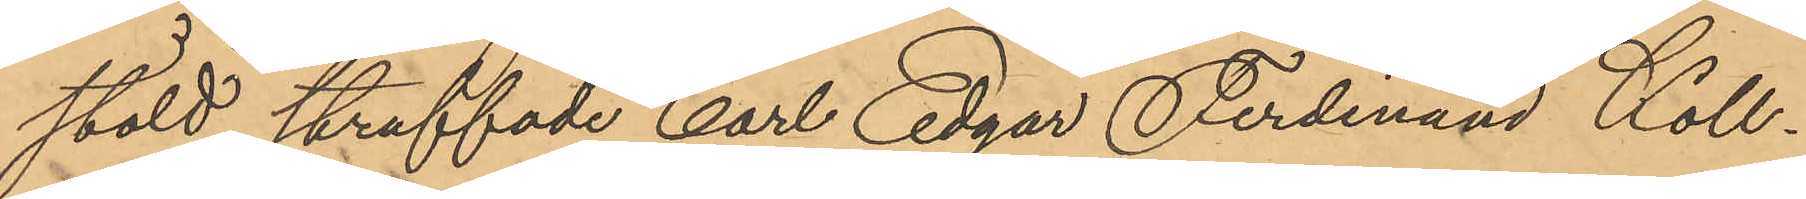stöld straffade Carl Edgar Ferdinand Koll¬
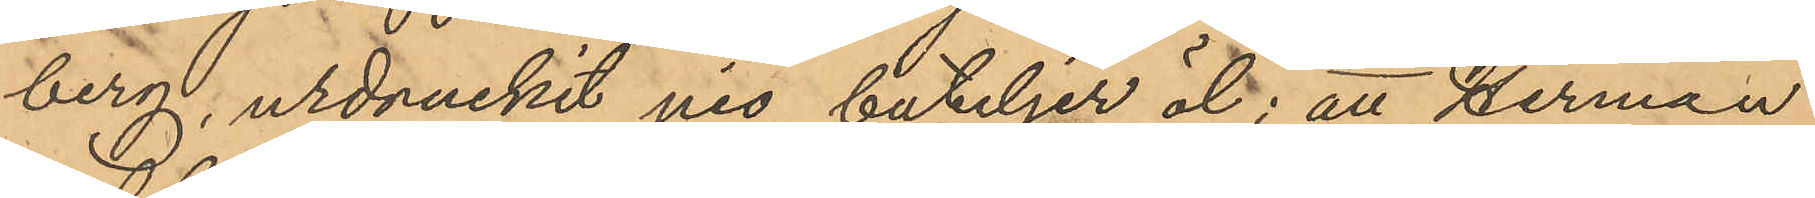berg, urdruckit nio buteljer öl; att Herman
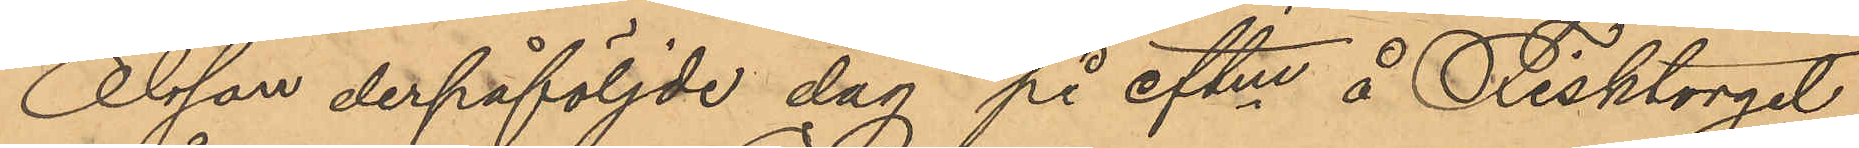Olsson derpåföljde dag på eftm å Fisktorget
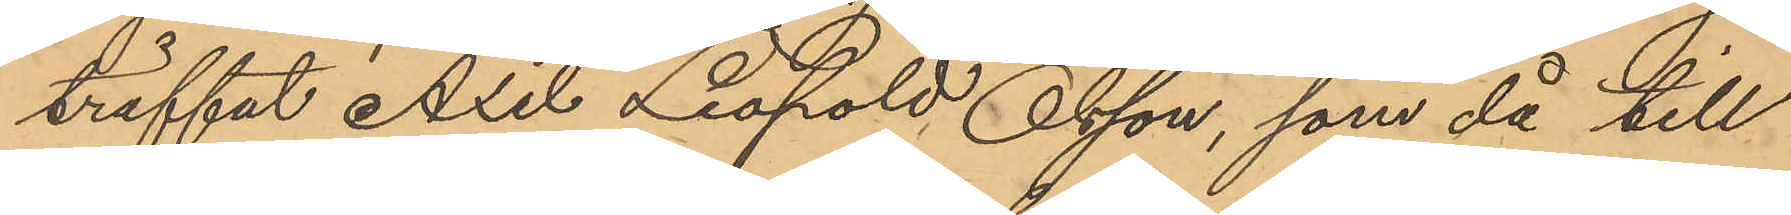träffat Axel Leopold Olsson, som då till
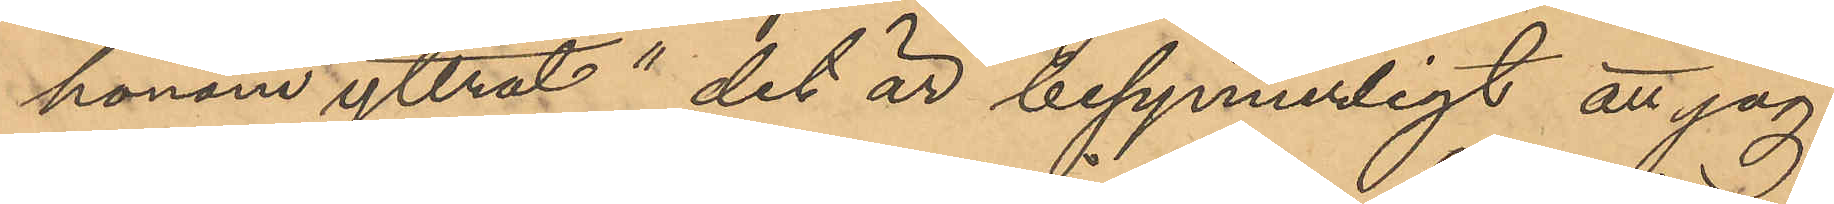honom yttrat "det är besynnerligt att jag
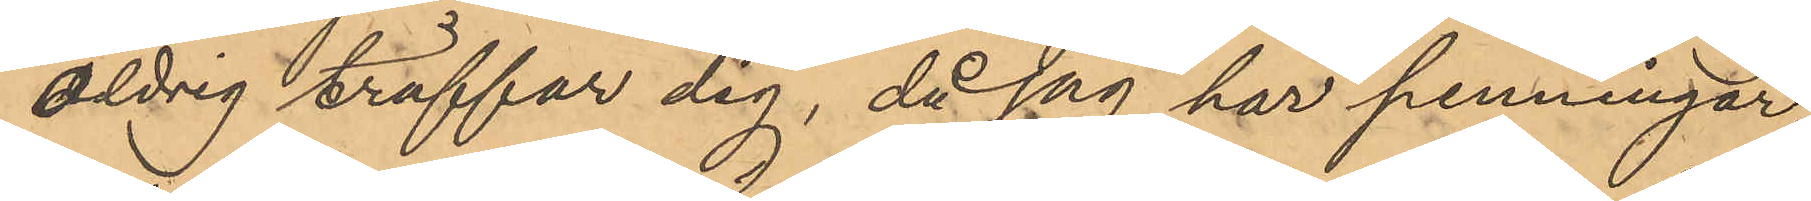aldrig träffar dig, då jag har penningar,
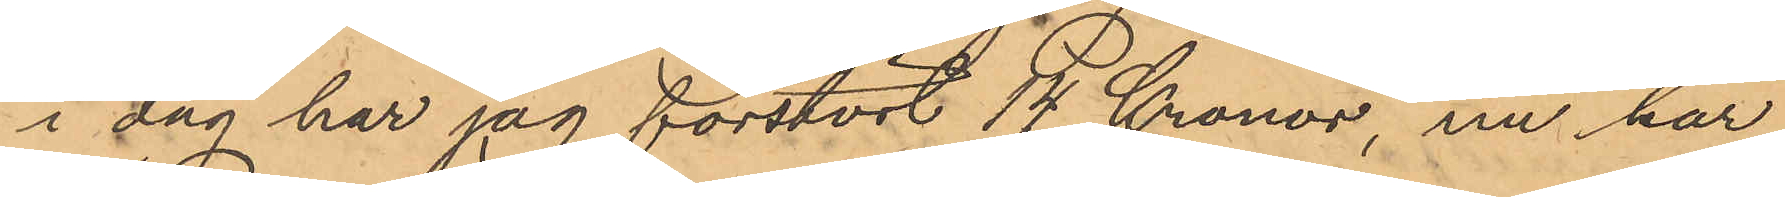i dag har jag förstört 14 Kronor, nu har
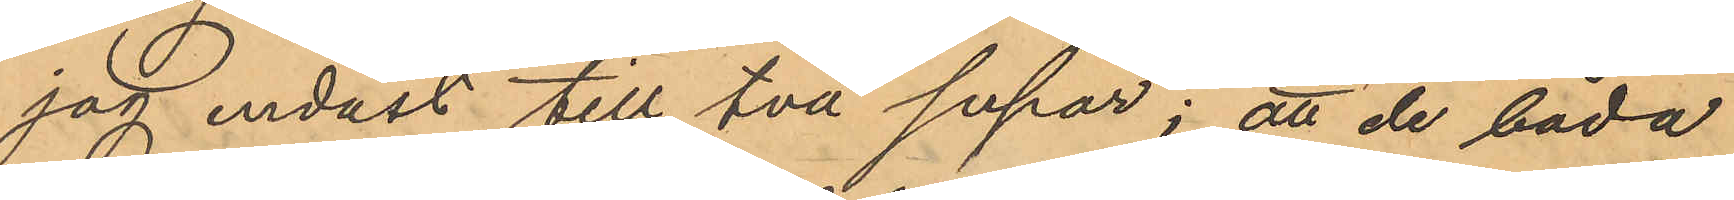jag endast till två supar"; att de båda
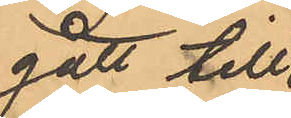gått till
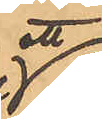ett
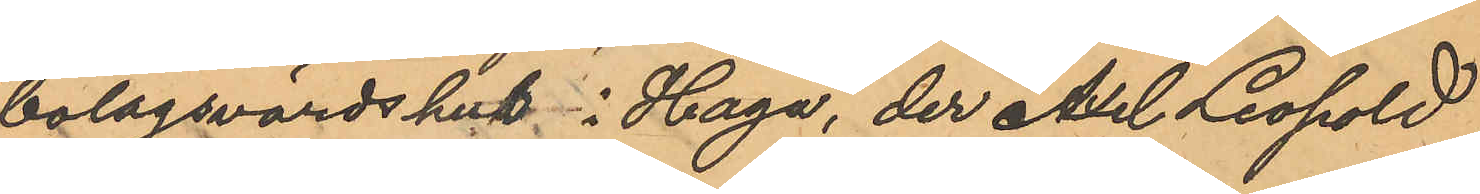bolagsvärdshus i Haga, der Axel Leopold
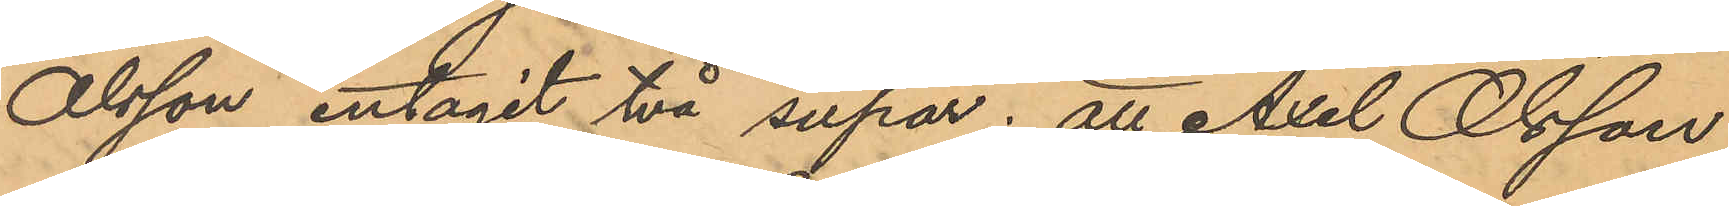Olsson intagit två supar; att Axel Olsson
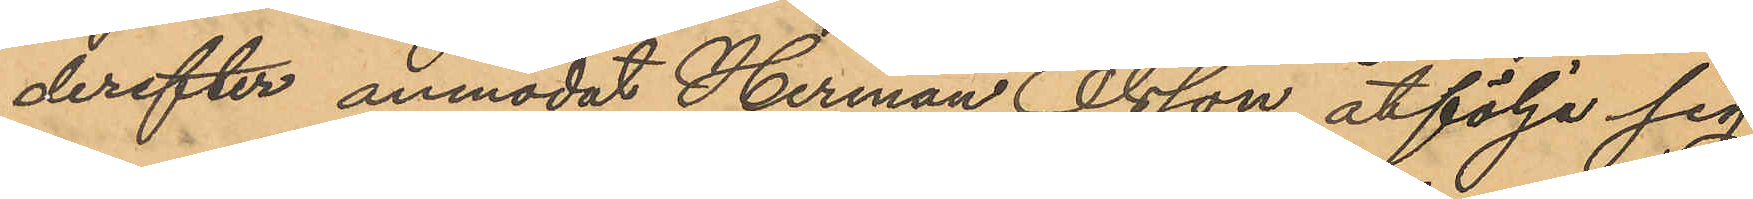derefter anmodat Herman Olsson åtfölja sig
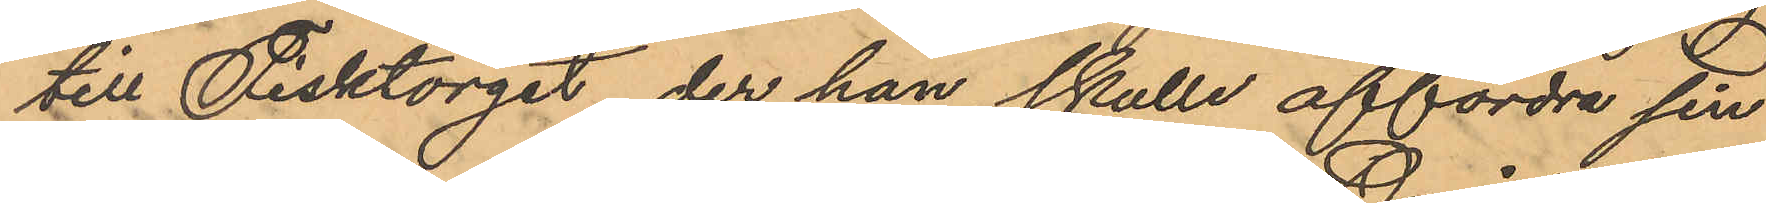till Fisktorget, der han skulle affordra sin
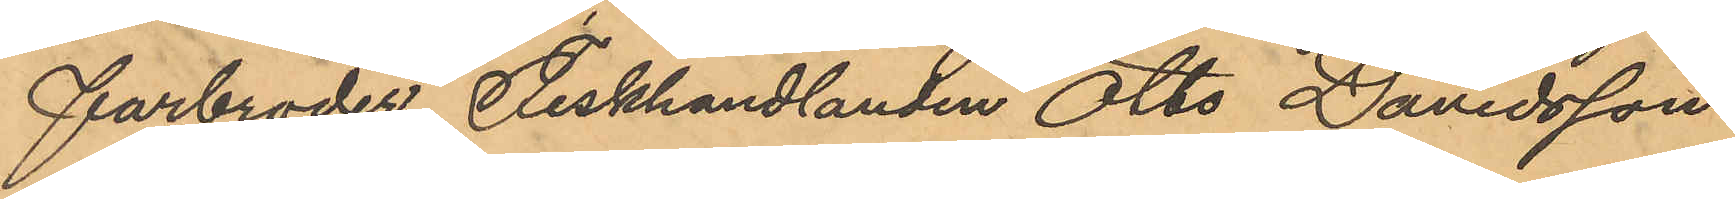farbroder Fiskhandlanden Otto Davidsson
